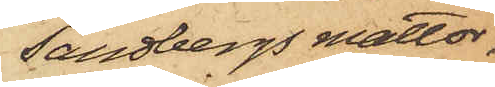Sandbergs mattor,
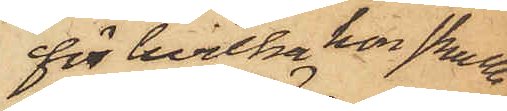för hvilka hon skulle
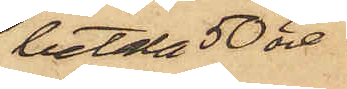betala 50 öre.
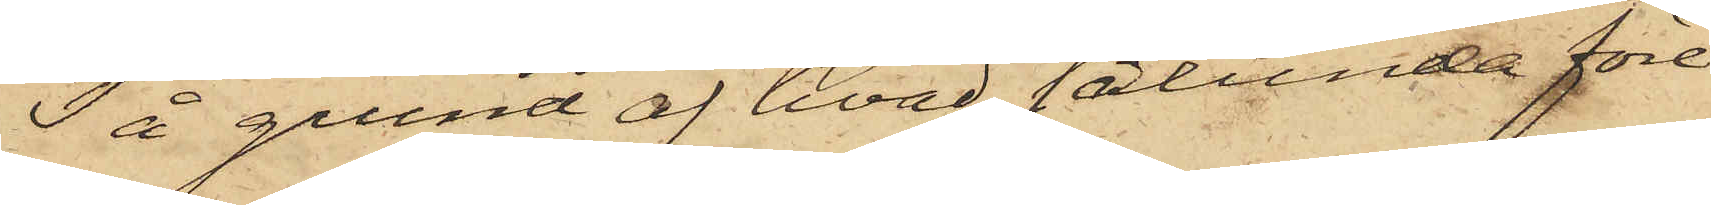På grund af hvad sålunda före¬
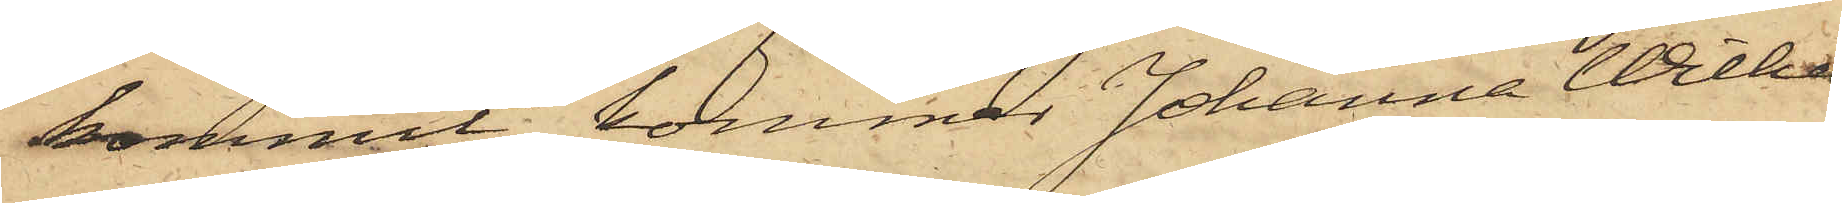kommit, kommer Johanna Wilhel-
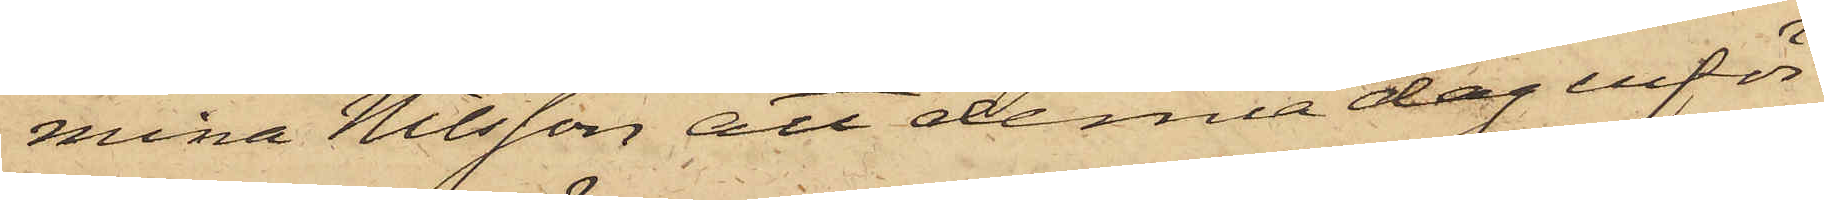mina Nilsson att denna dag inför
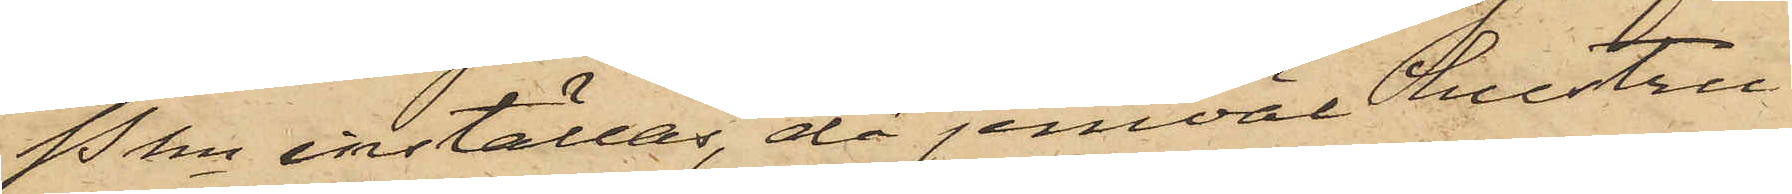Pkn inställas, då jemväl hustru
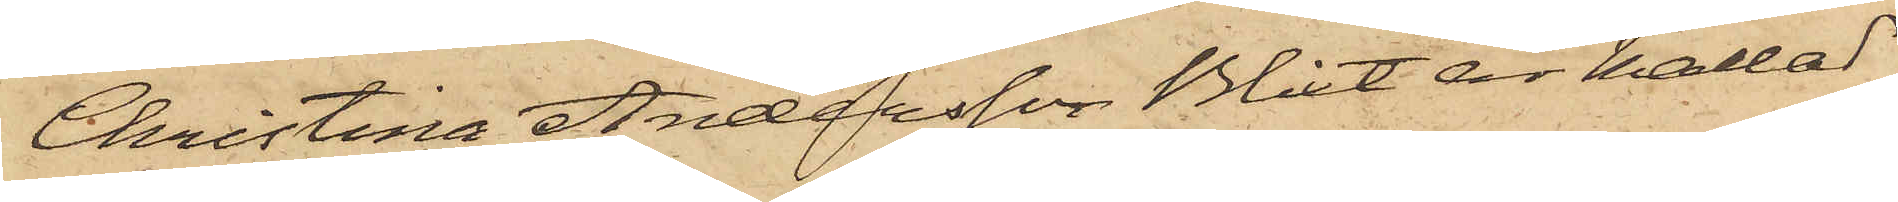Christina Andersson Blixt är kallad
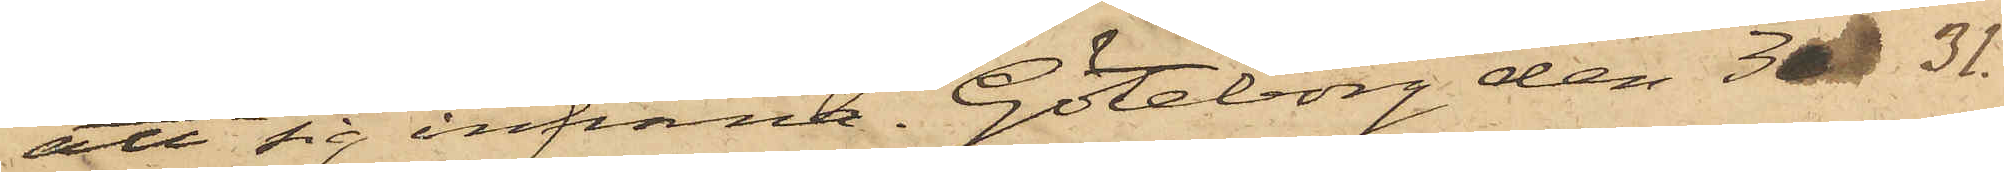att sig infinna. Göteborg den 3  31.
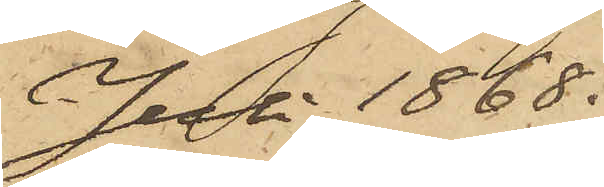Juli 1868.
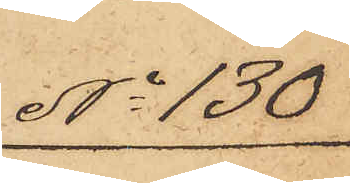No 130
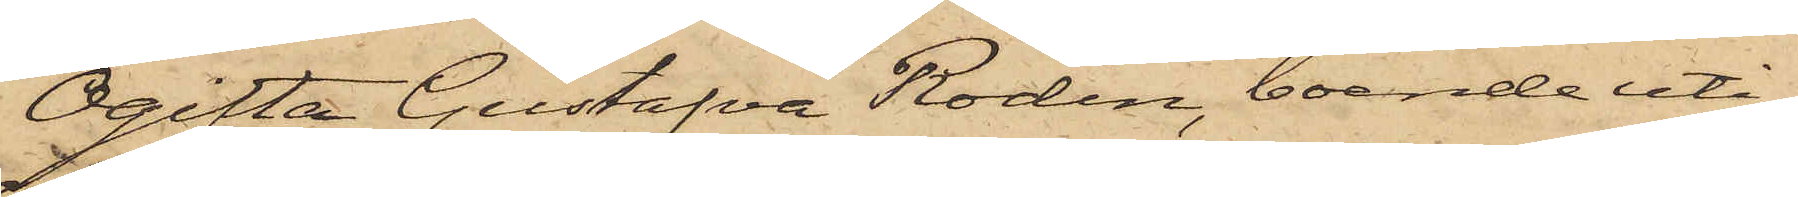Ogifta Gustafva Rodin, boende uti
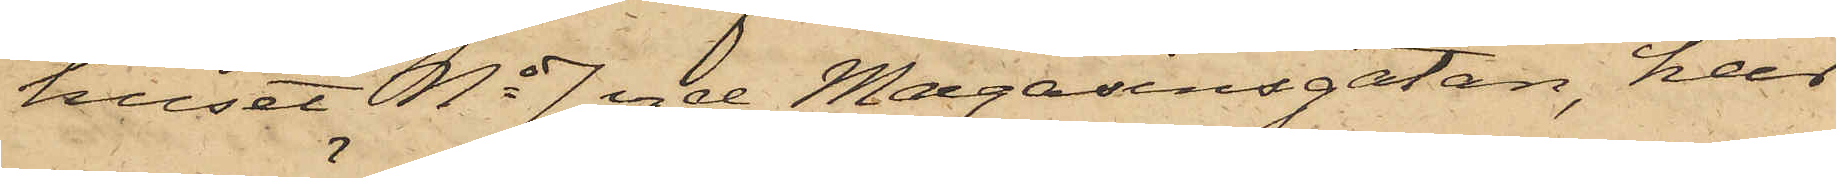huset No 7 vid Magasinsgatan, har
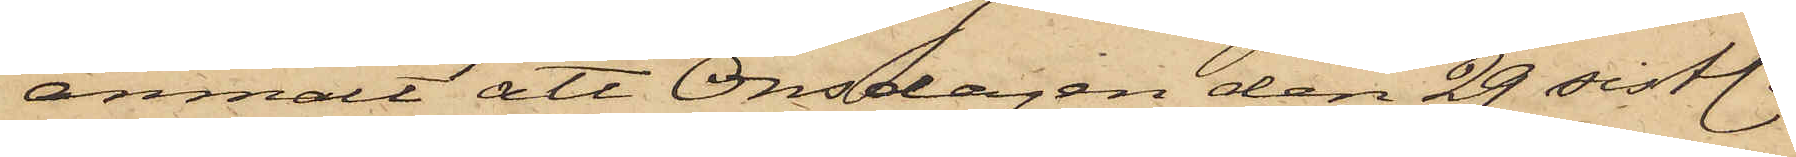anmält att Onsdagen den 29 sistl.
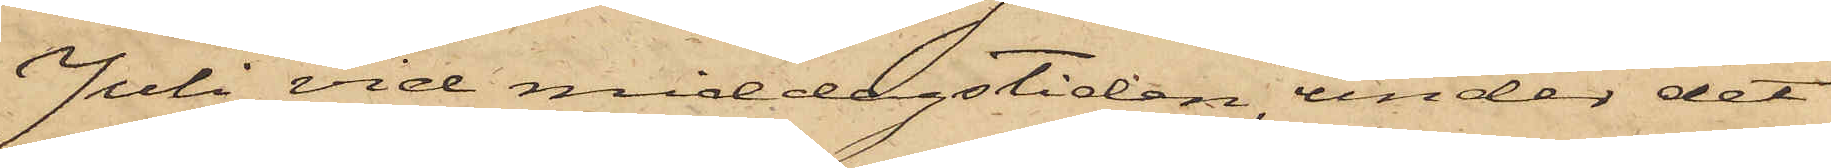Juli vid middagstiden, under det
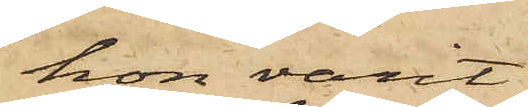hon varit
